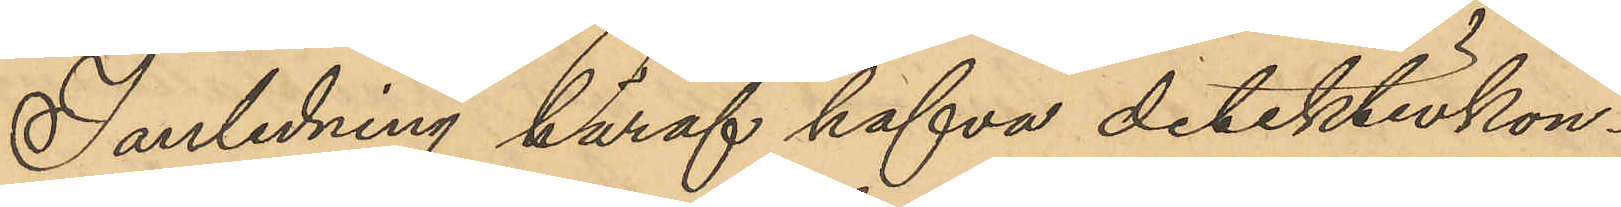I anledning häraf hafva detektivkon¬
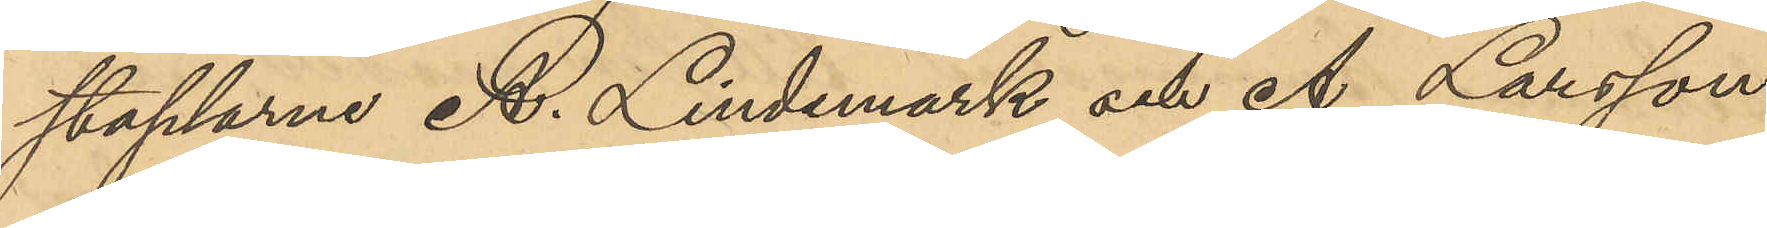staplarne A. Lindemark och A. Larsson
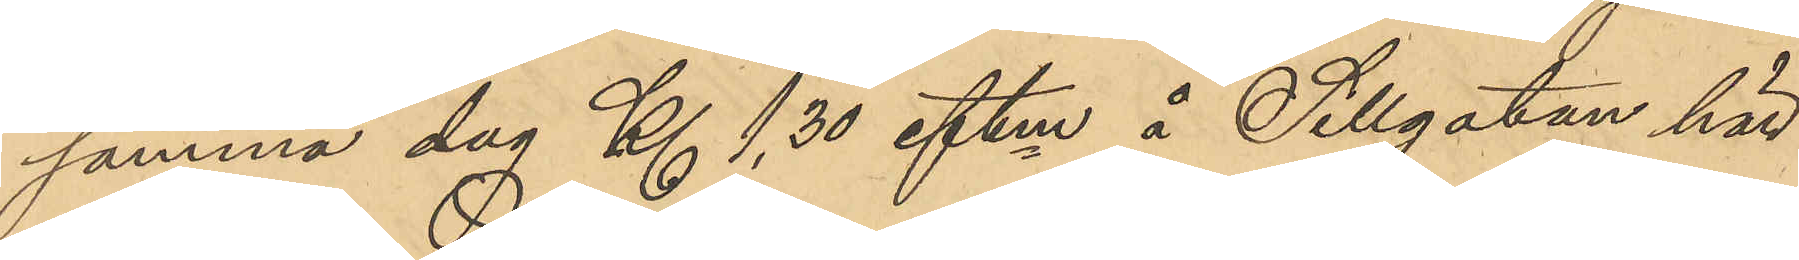samma dag Kl 1,30 eftm å Sillgatan här
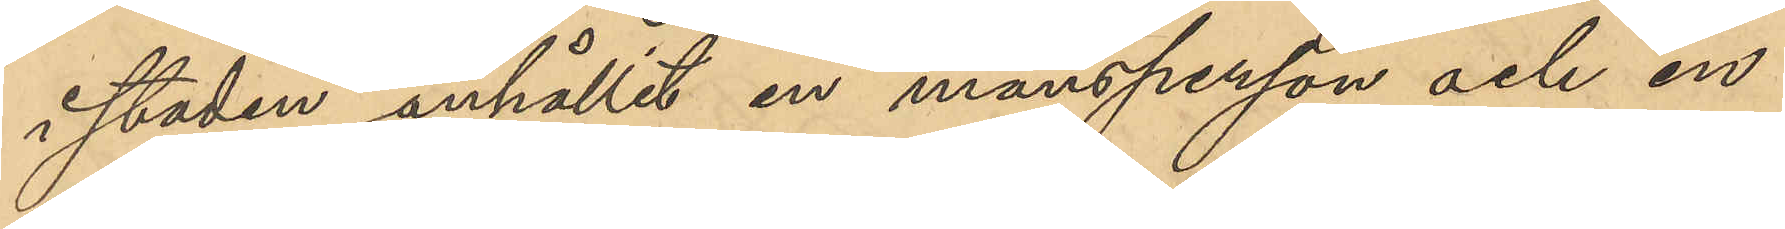i staden anhållit en mansperson och en
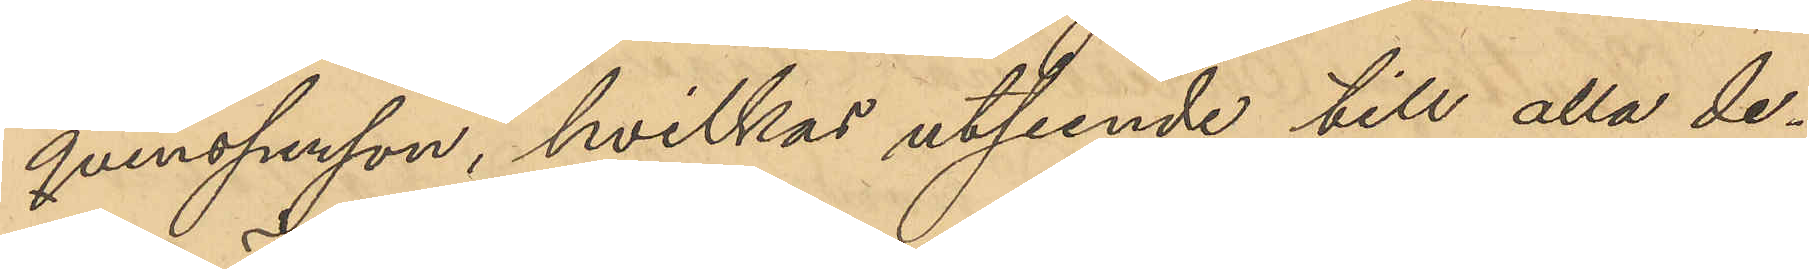qvinsperson, hvilkas utseende till alla de¬
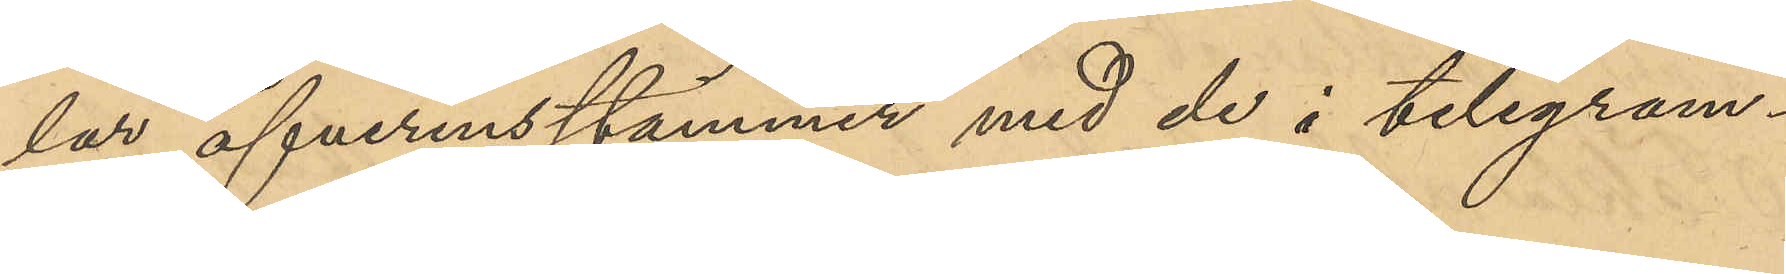lar öfverenstämmer med de i telegram¬
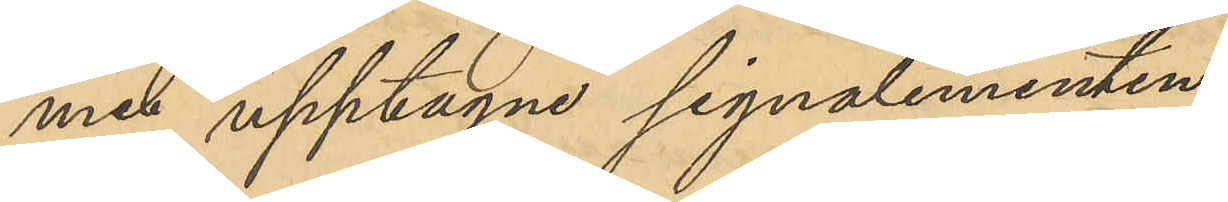met upptagne signalementen.
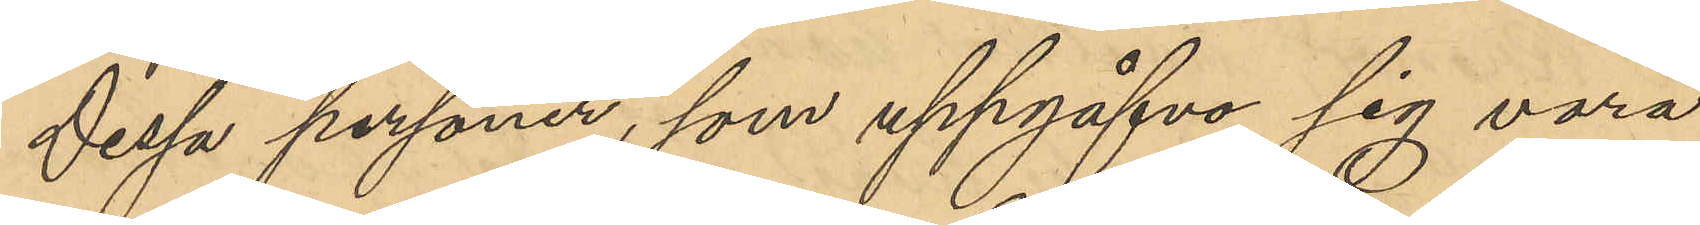Dessa personer, som uppgåfvo sig vara
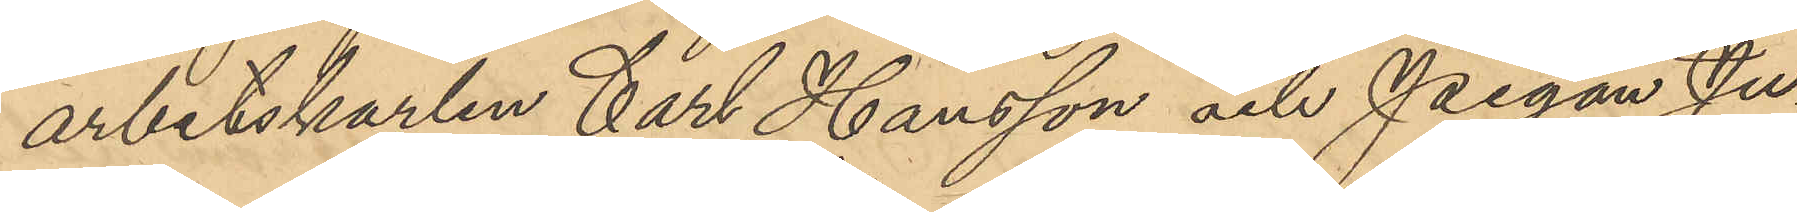arbetskarlen Carl Hansson och Pigan Ju¬
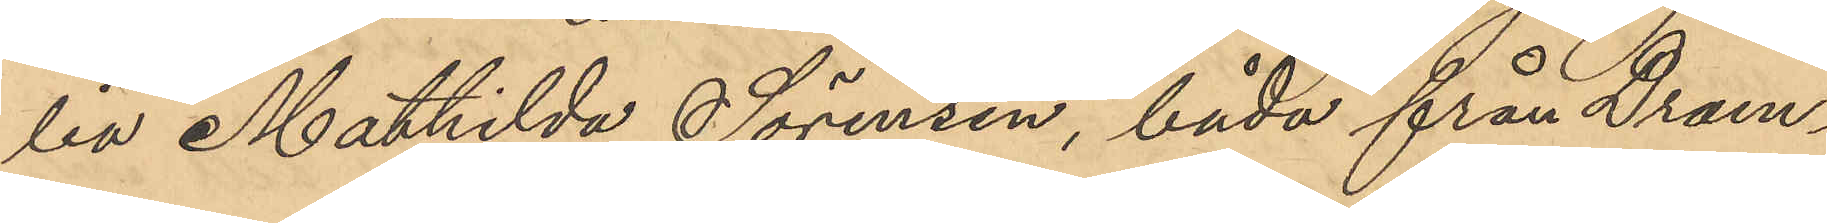lia Mathilda Sörensen, båda från Dram¬
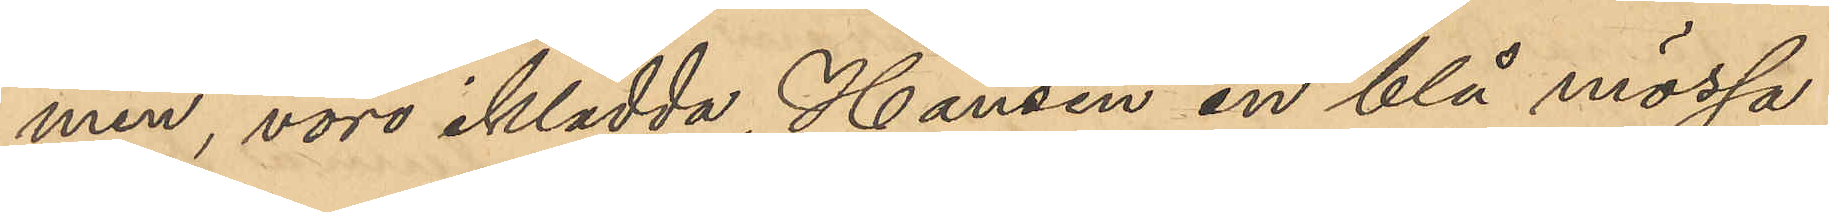men, voro iklädda, Hansen en blå mössa
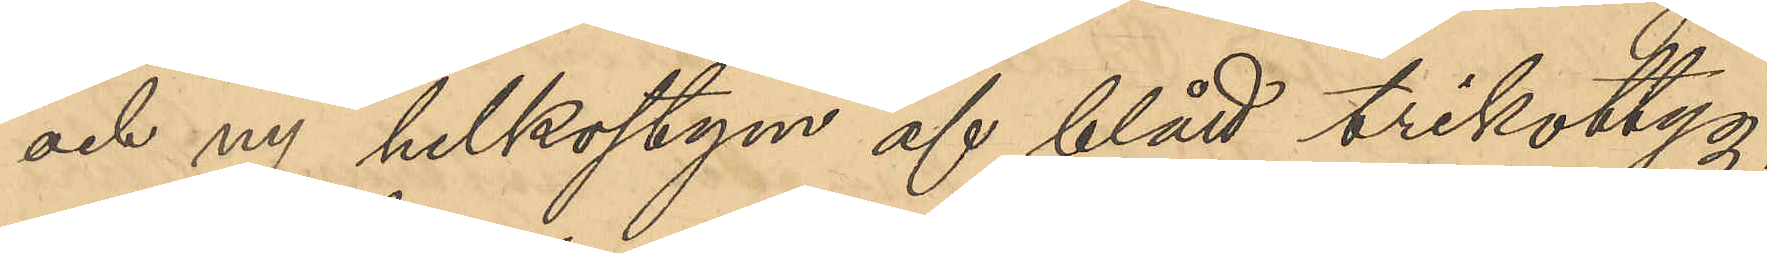och ny helkostym af blått trikottyg,
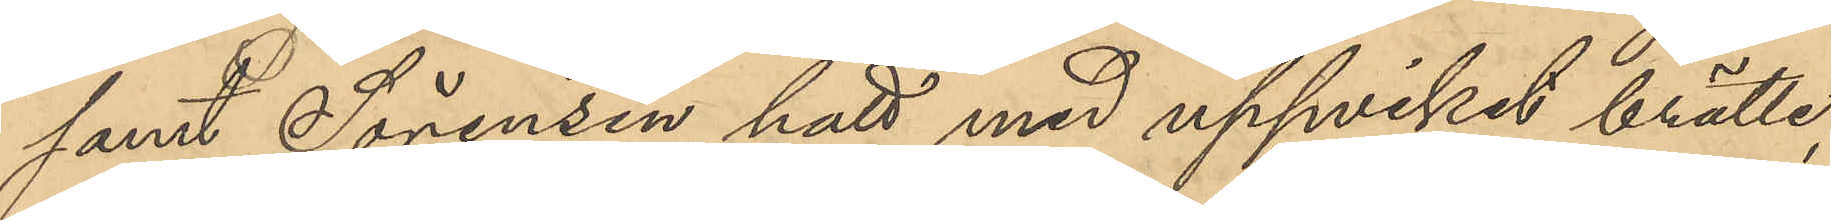samt Sörensen hatt med uppviket brätte,
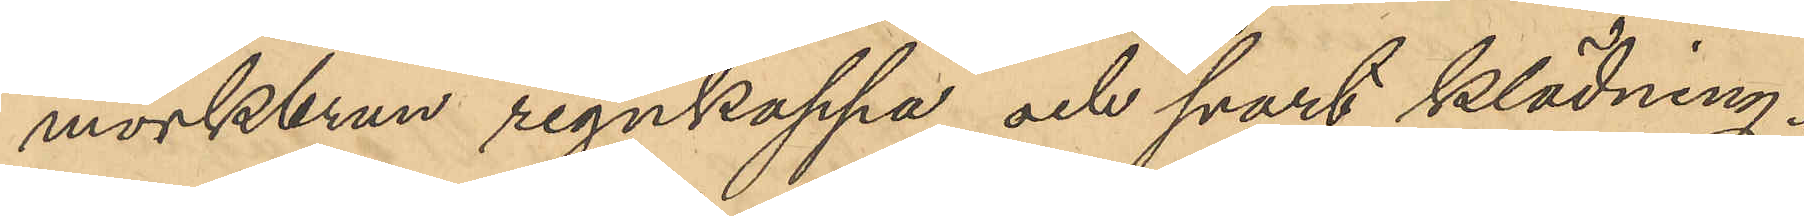mörkbrun regnkappa och svart klädning.
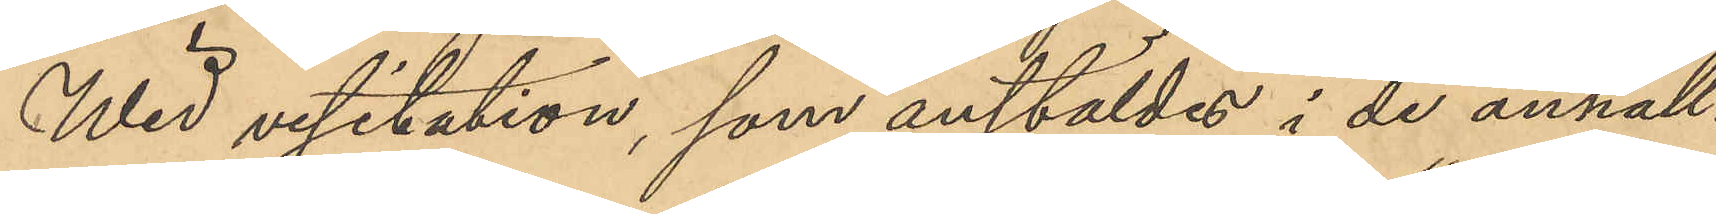Wid visitation, som anstäldes i de anhåll¬
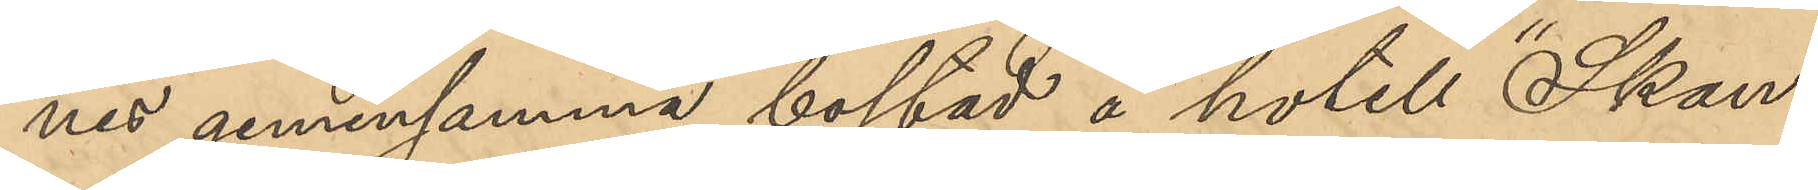nes gemensamma bostad å hotell "Skan¬
